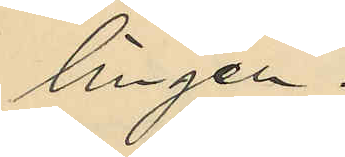lingen.
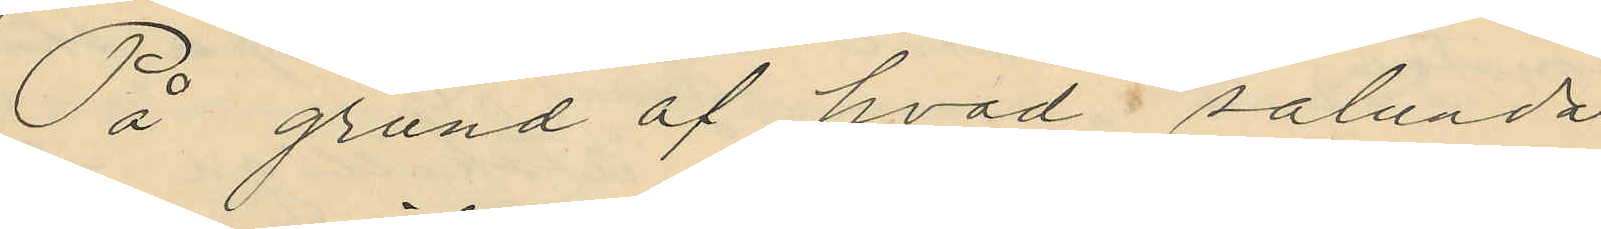På grund af hvad sålunda
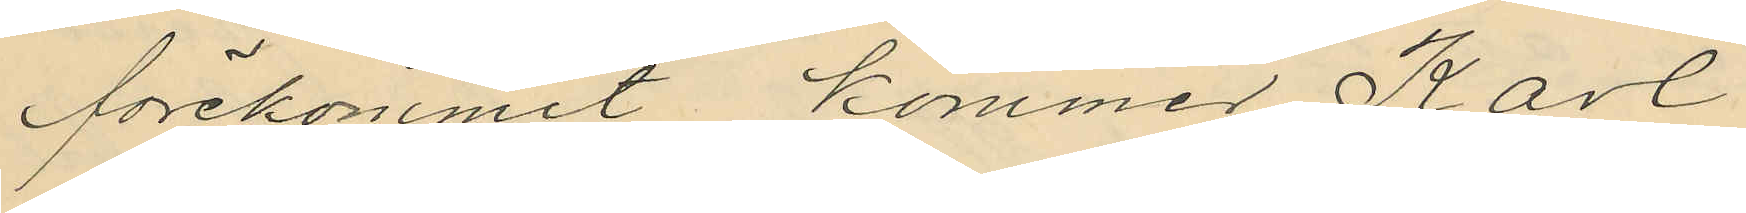förekommit kommer Karl
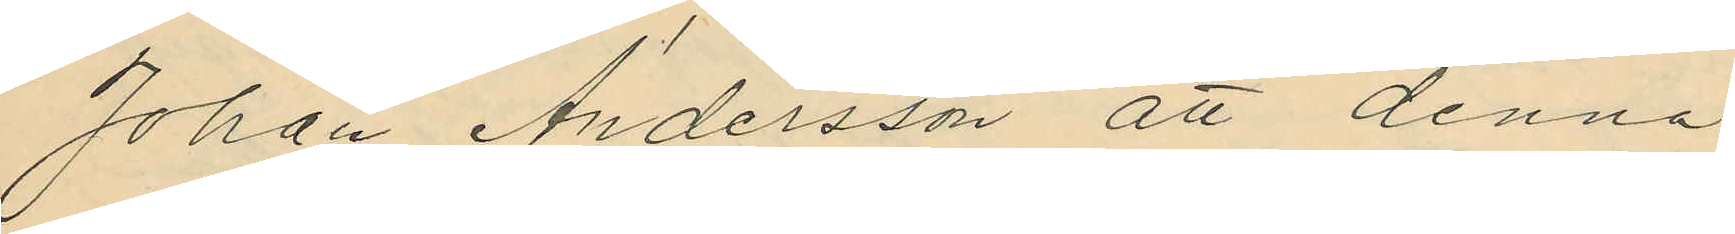Johan Andersson att denna
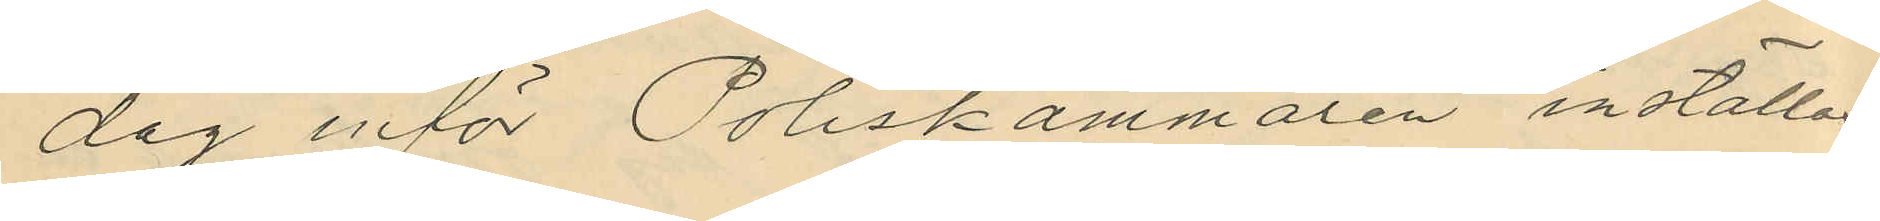dag inför Poliskammaren inställas.
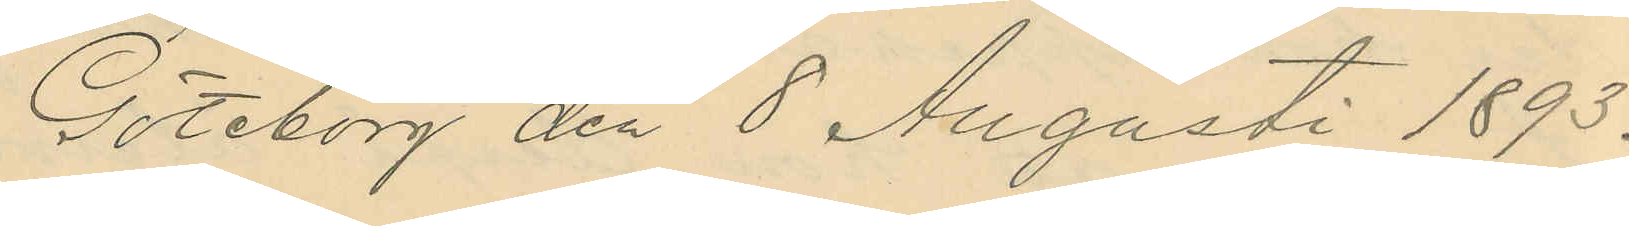Göteborg den 8 Augusti 1893.
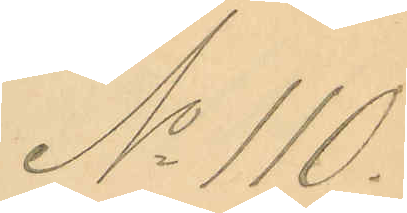No 110.
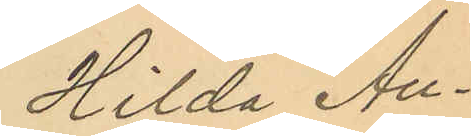Hilda Au¬
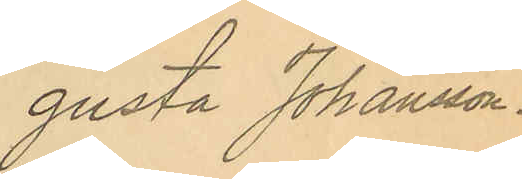gusta Johansson.
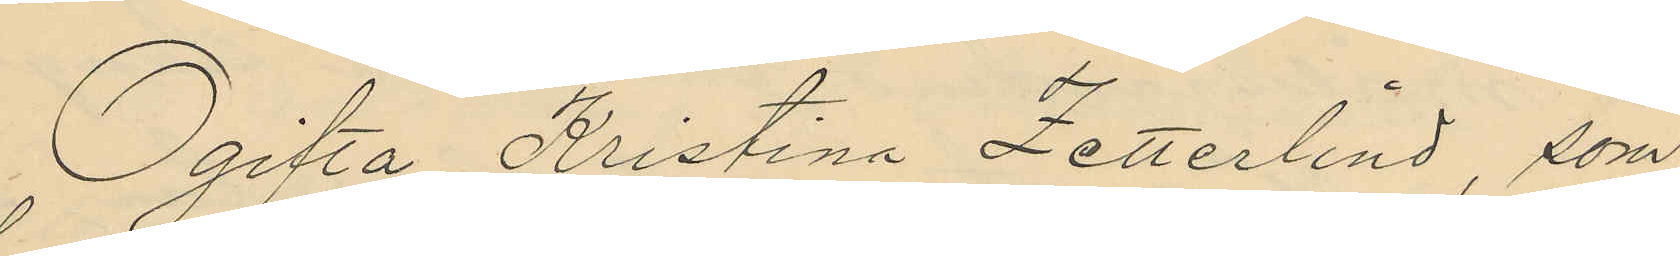Ogifta Kristina Zetterlind, som
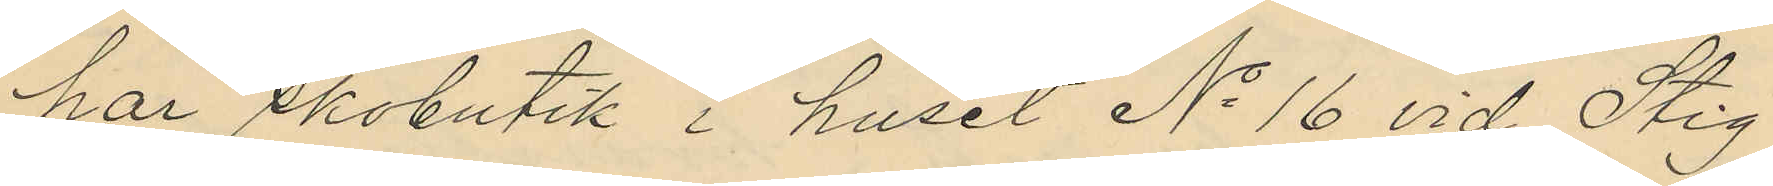har skobutik i huset No 16 vid Stig¬
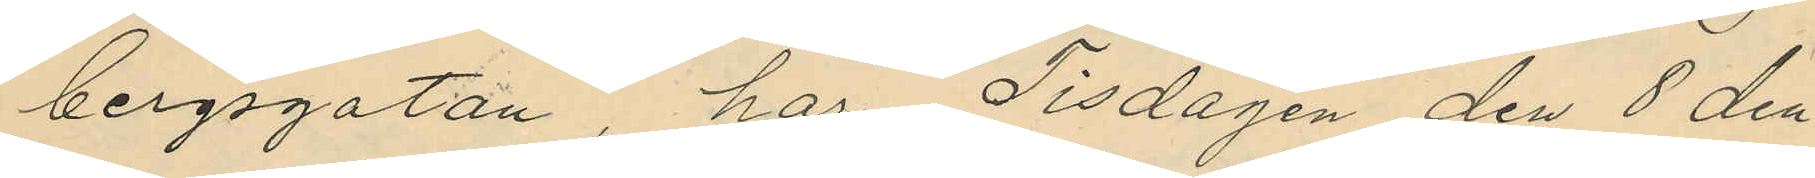bergsgatan har Tisdagen den 8 den¬
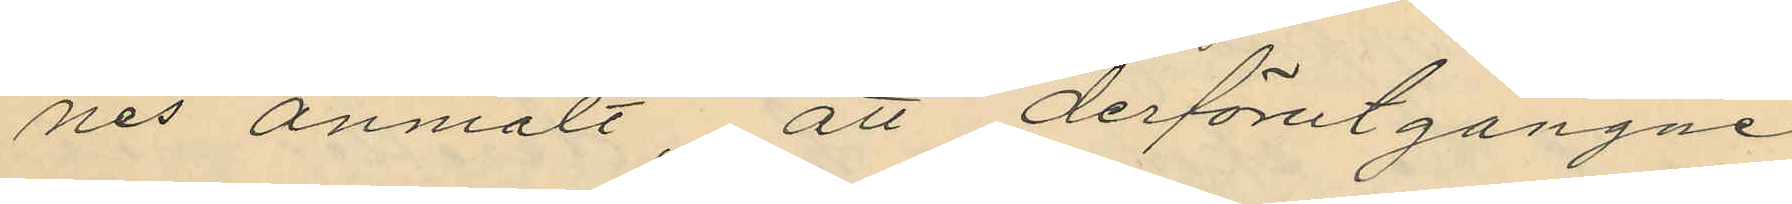nes anmält att derförutgångne
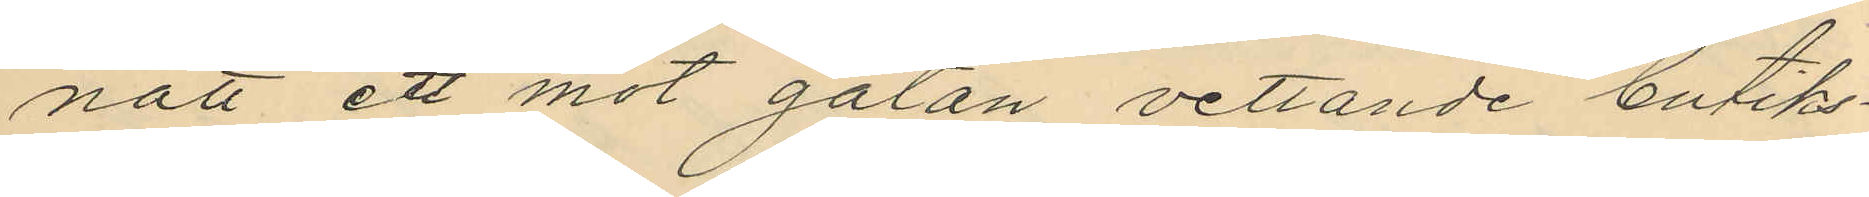natt ett mot gatan vettande butiks¬
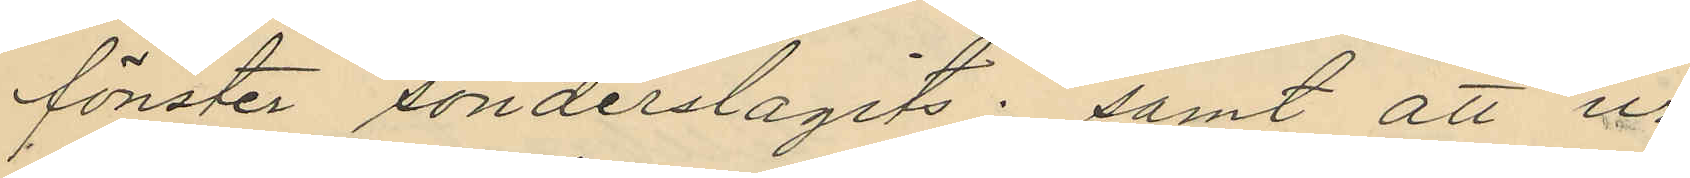fönster sönderslagits; samt att ur
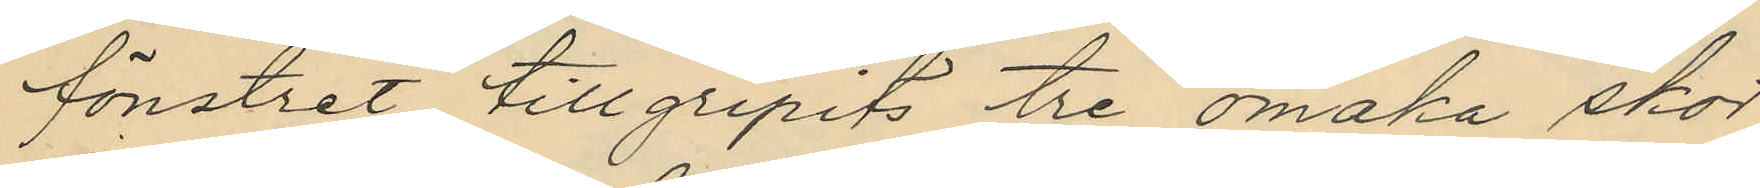fönstret tillgripits tre omaka skor,
